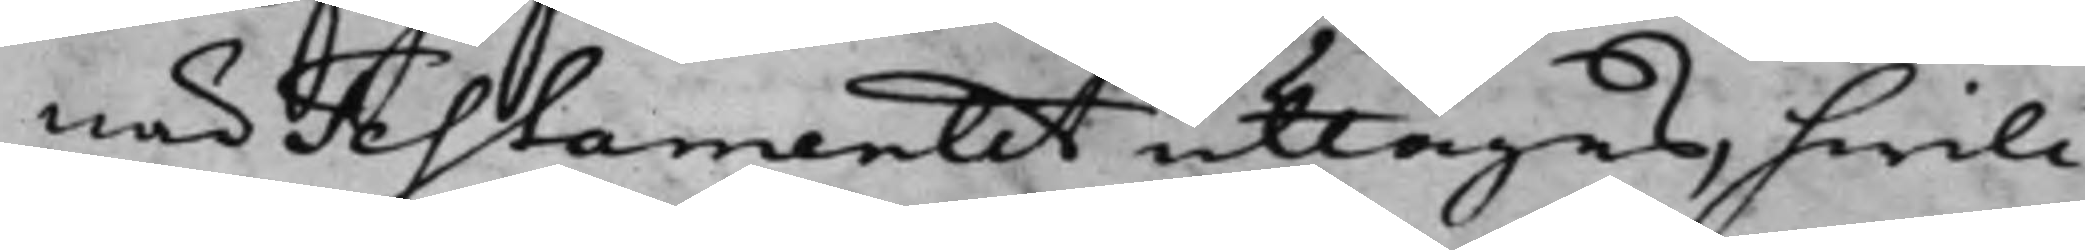när Testamentet uttagas, hwil¬
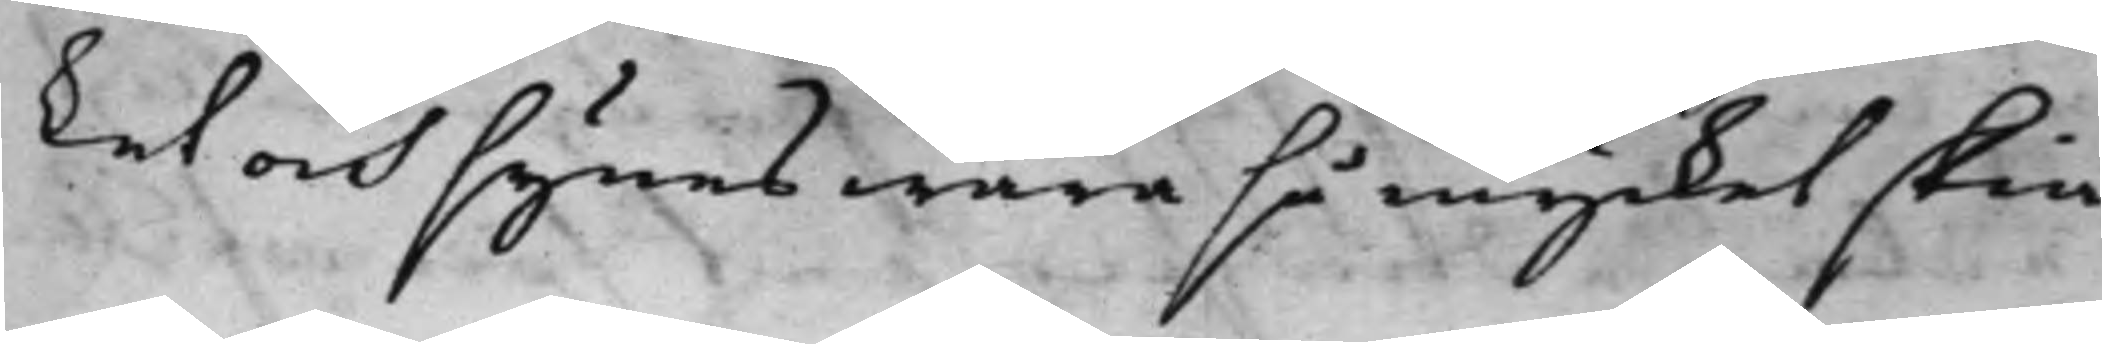ket och synes wara så mycket skiä¬
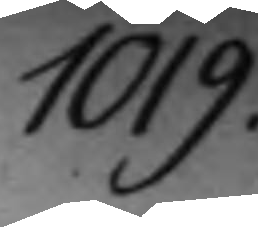1019.
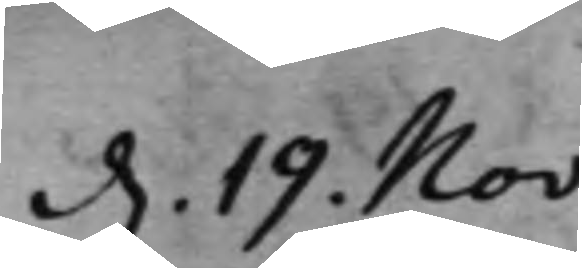d. 19. Nov:
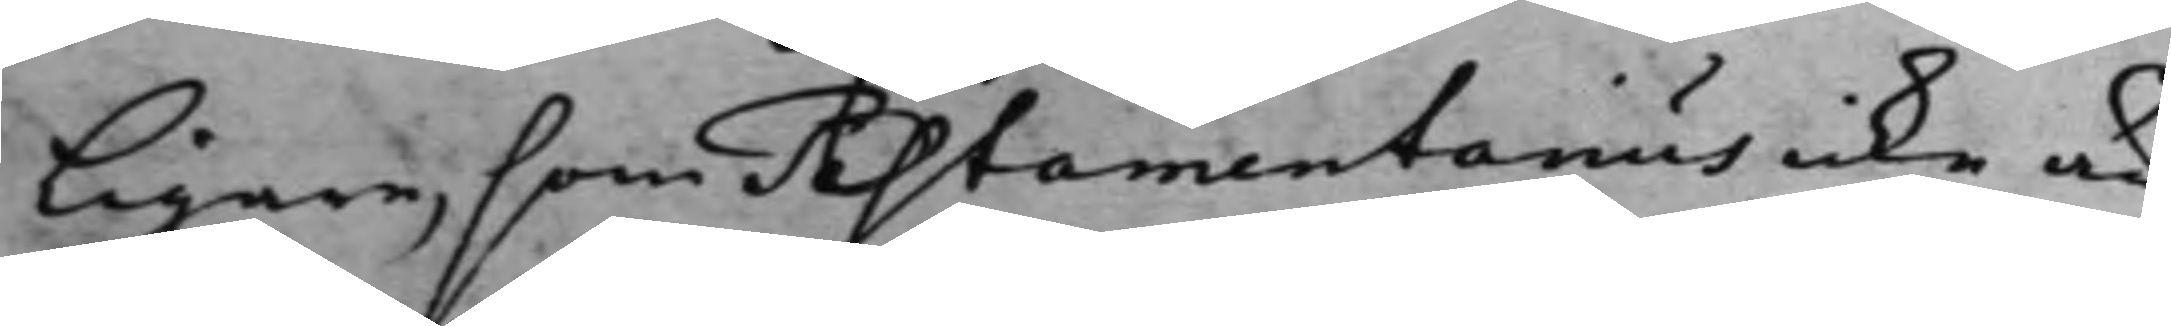ligare, som Testamentarius icke är
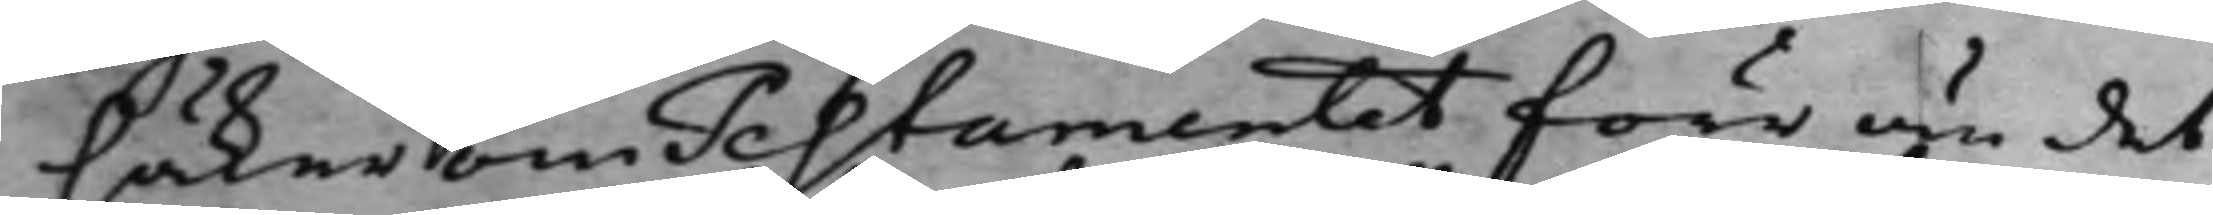säker om Testamentet förr än det
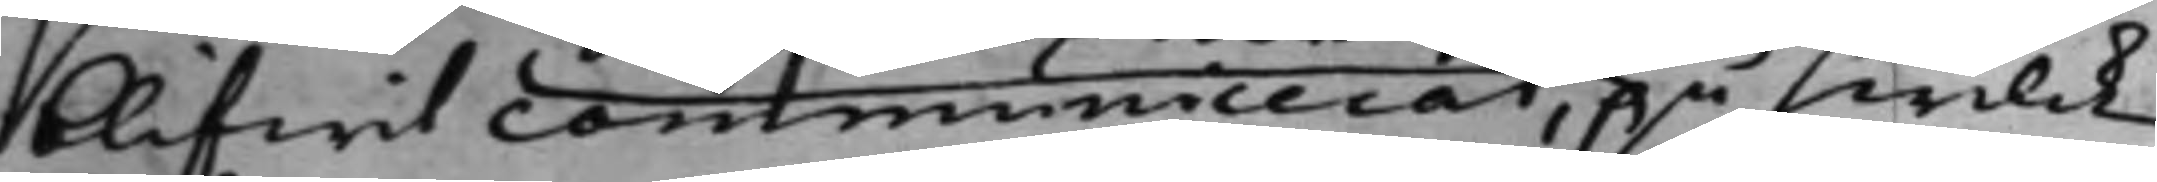blifwit communicerat, på hwilck
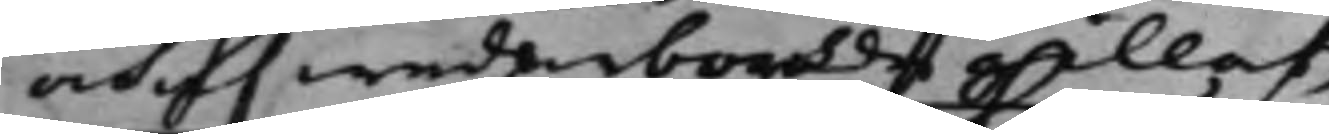och af wederbörde gillats,
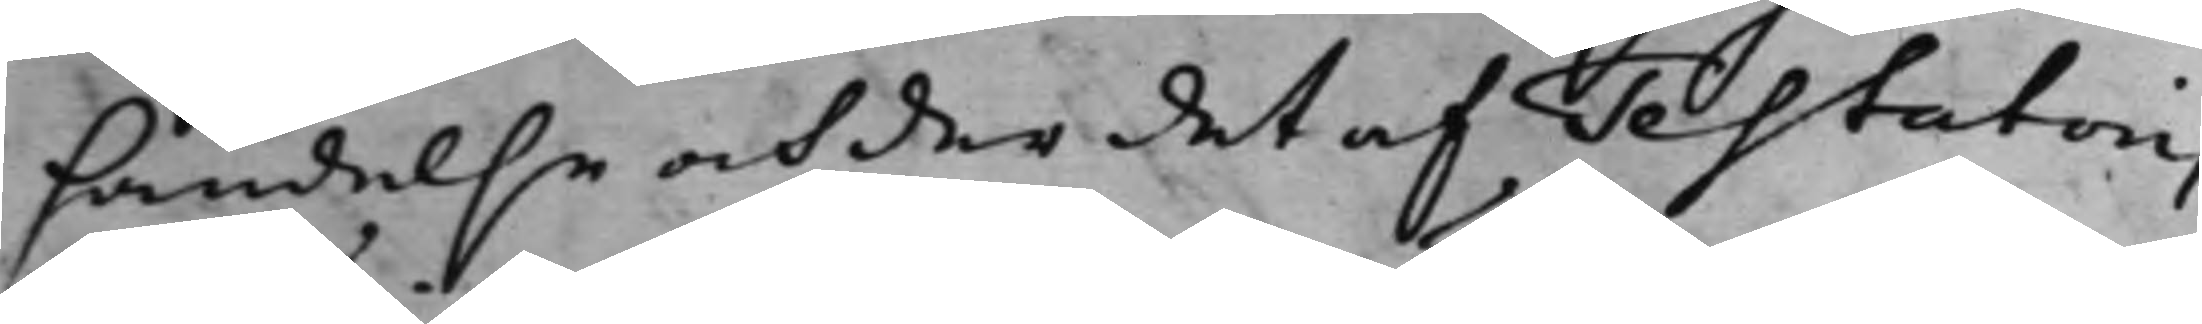händelse och der det af Testatoris
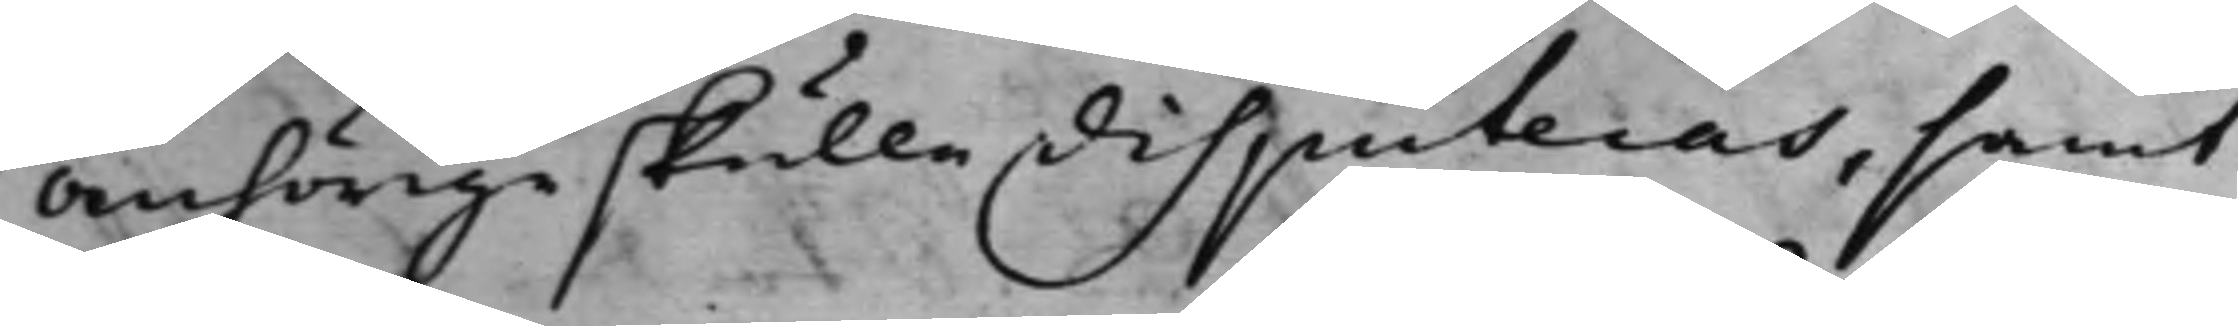Anhörige skulle disputeras, samt
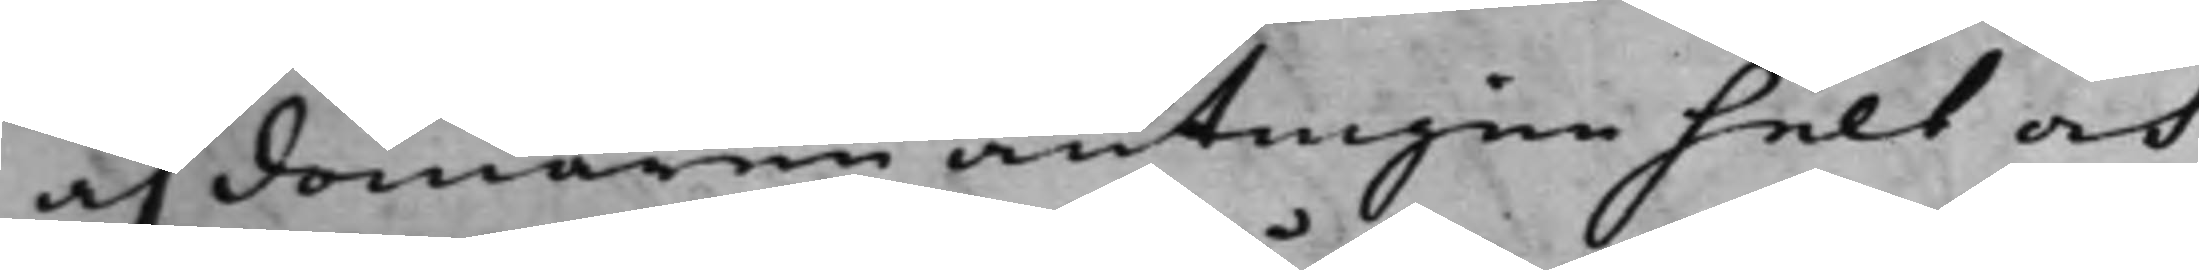af domaren antingen helt och
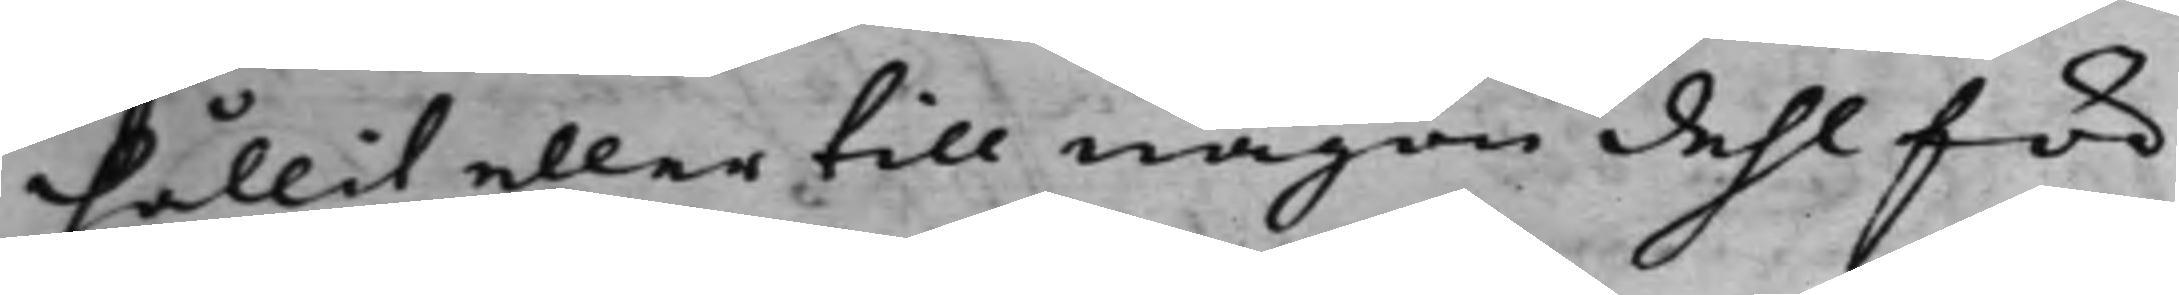hållit eller till någon dehl för
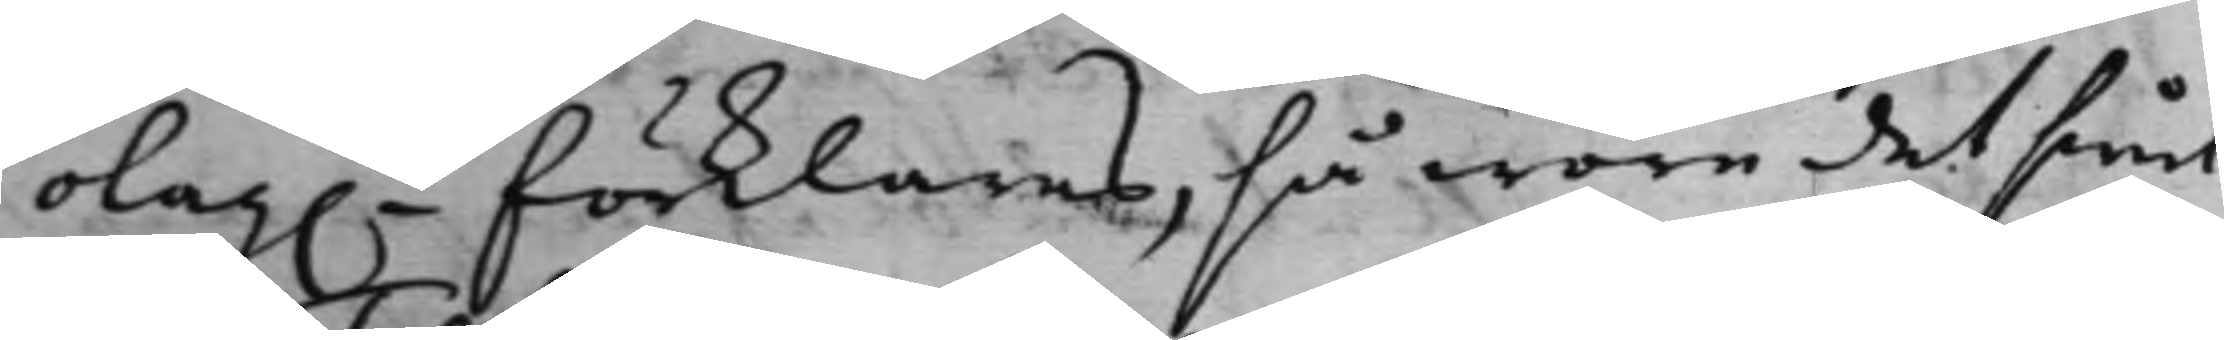olag.t förklaras, så wore det siel
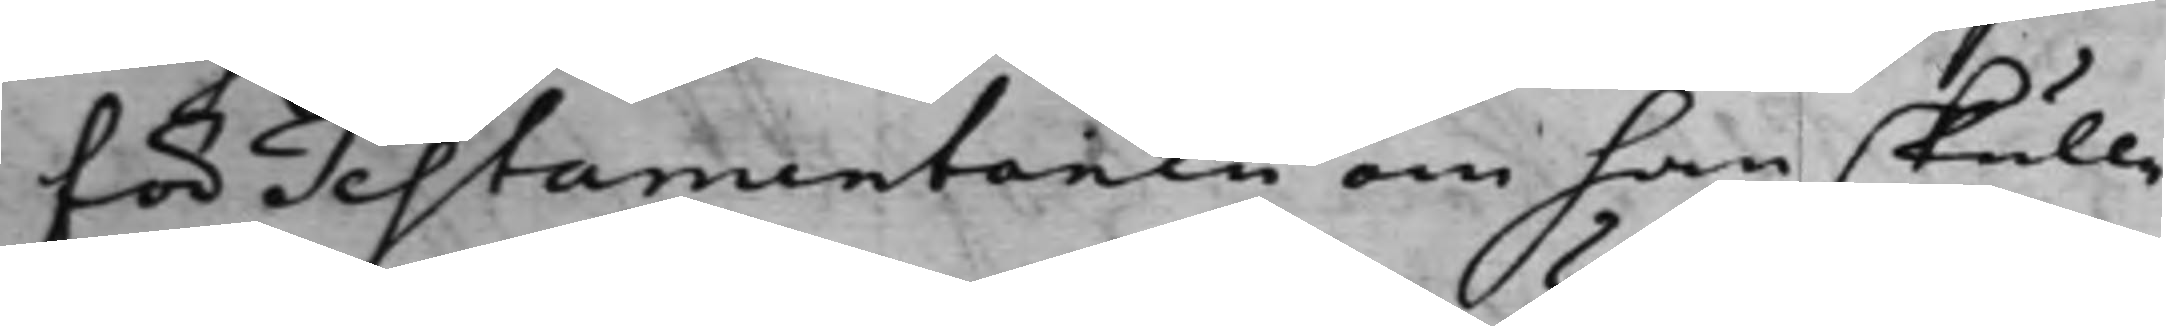för Testamentoren om han skulle
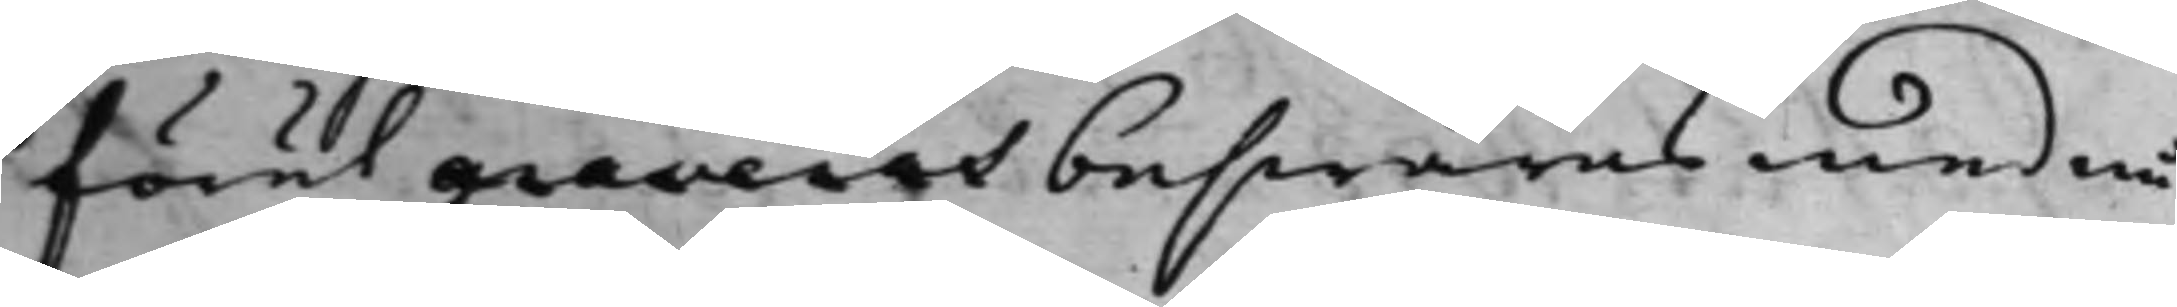förut graveras beswäras med nå¬
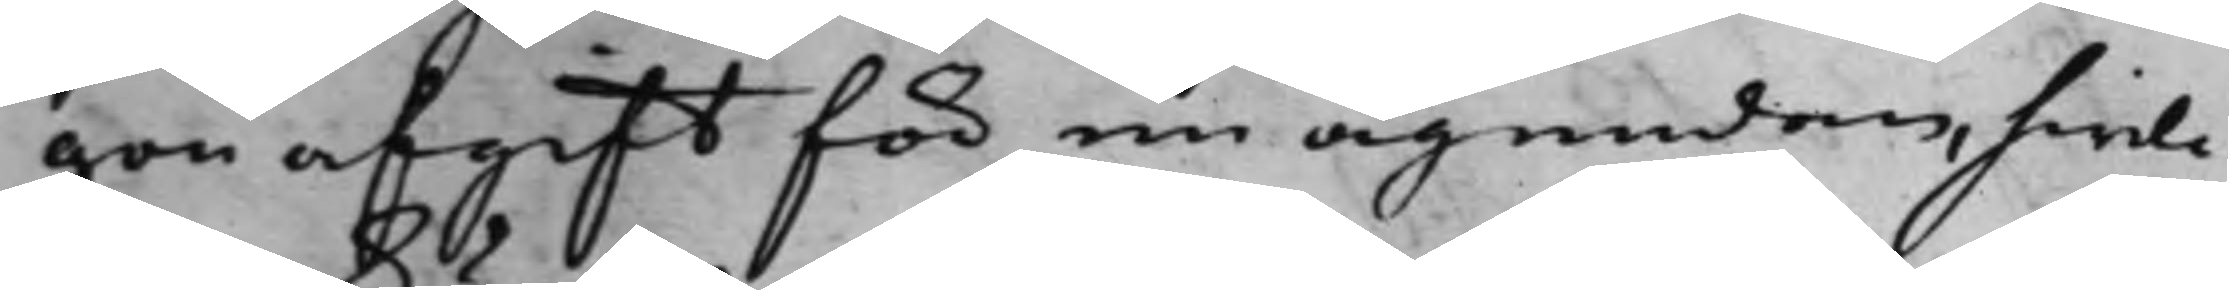gon afgift för en ägendom, hwil¬
